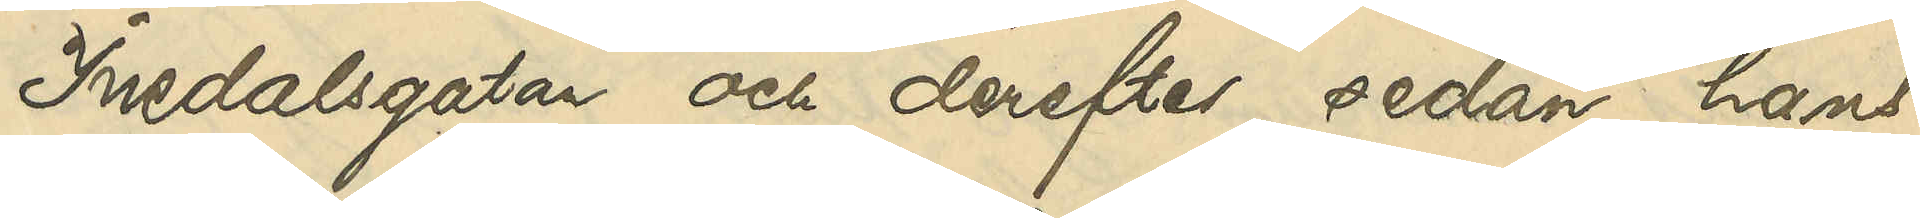Inedalsgatan och derefter, sedan hans
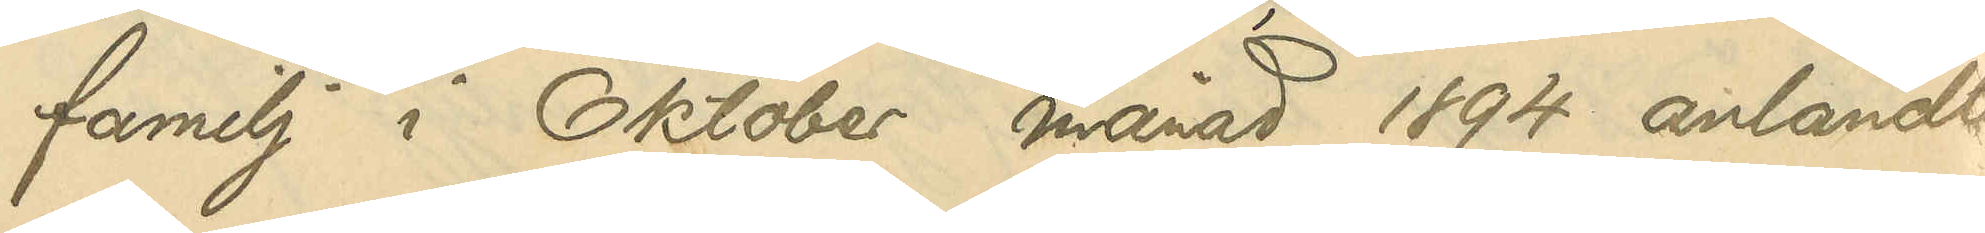familj i Oktober 1894 anländt
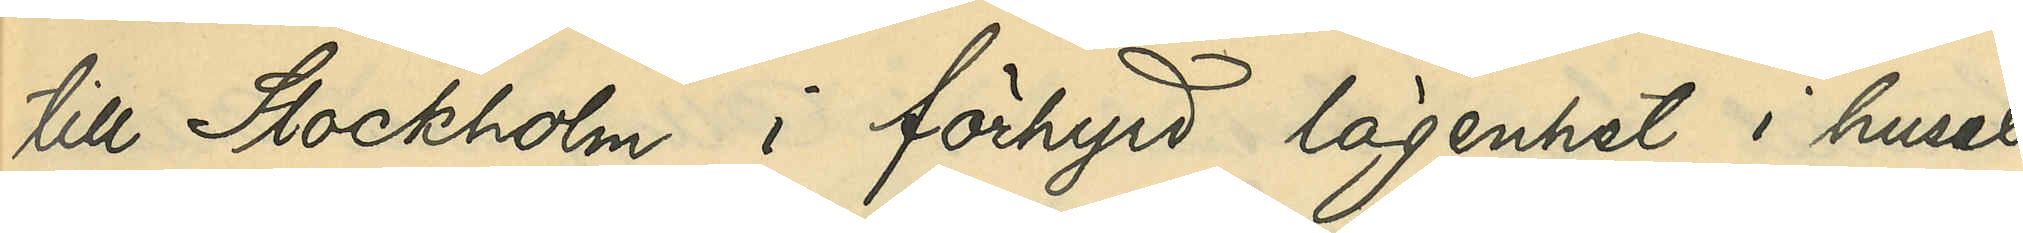till Stockholm i förhyrd lägenhet i huset
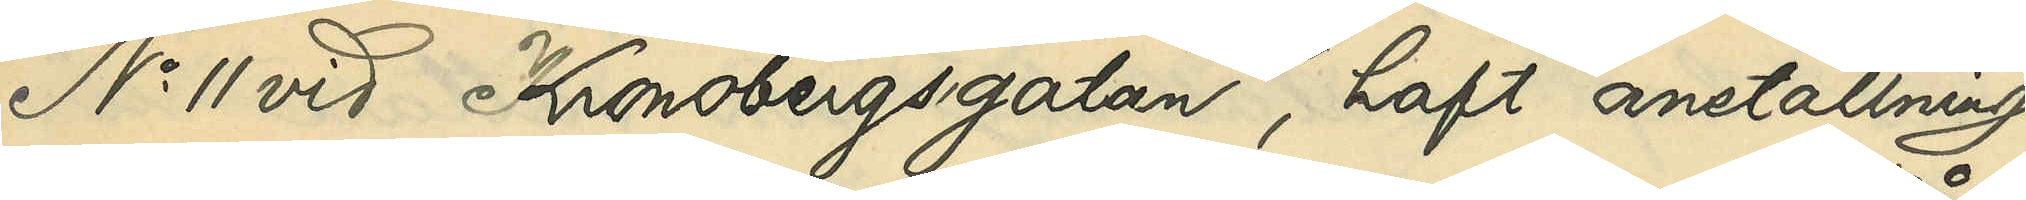No 11 vid Kronobergsgatan, haft anställning
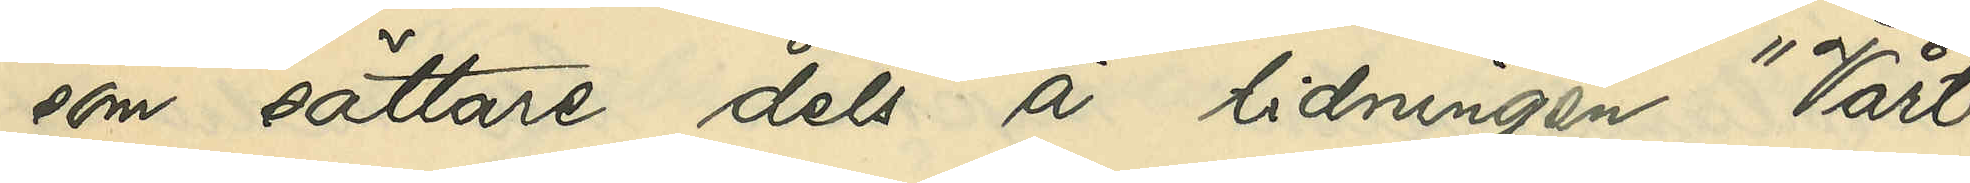som sättare dels å tidningen "Vårt 
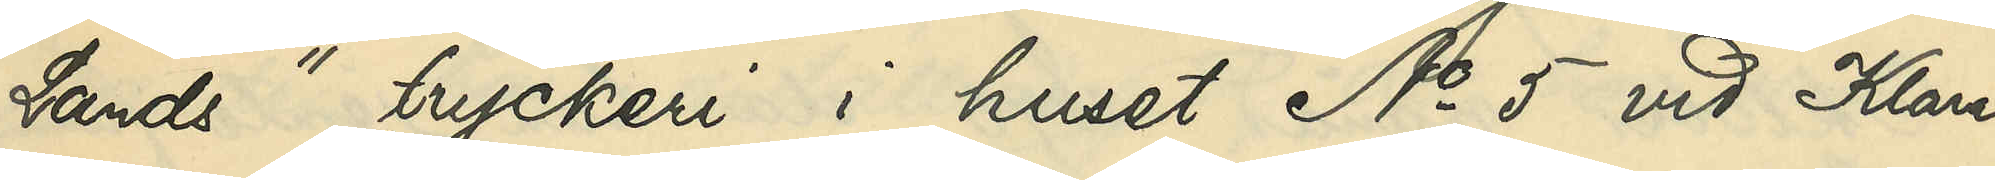Lands" tryckeri i huset No 5 vid Klara
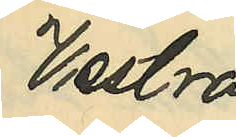Vestra
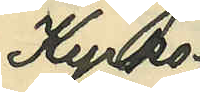Kyrko¬
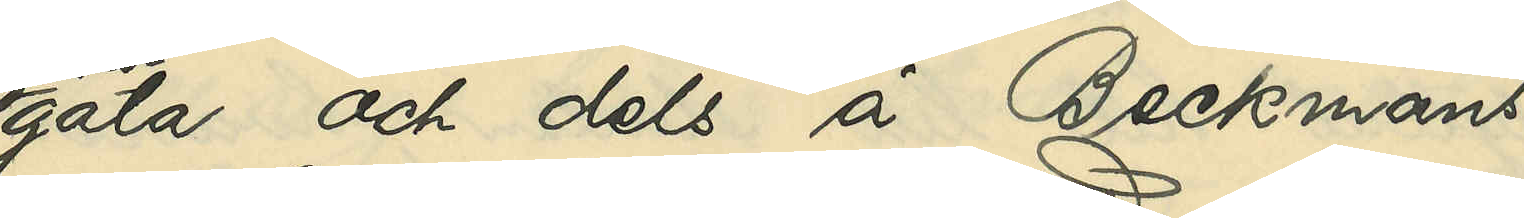gata och dels å Beckmans
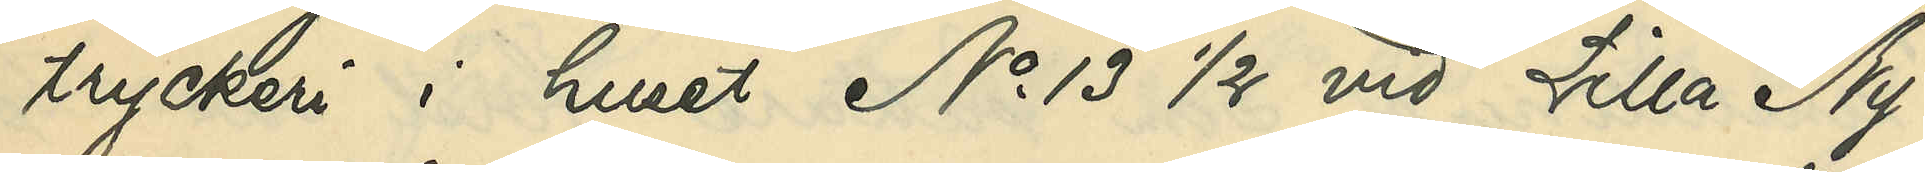tryckeri i huset No 13 1/2 vid Lilla Ny¬
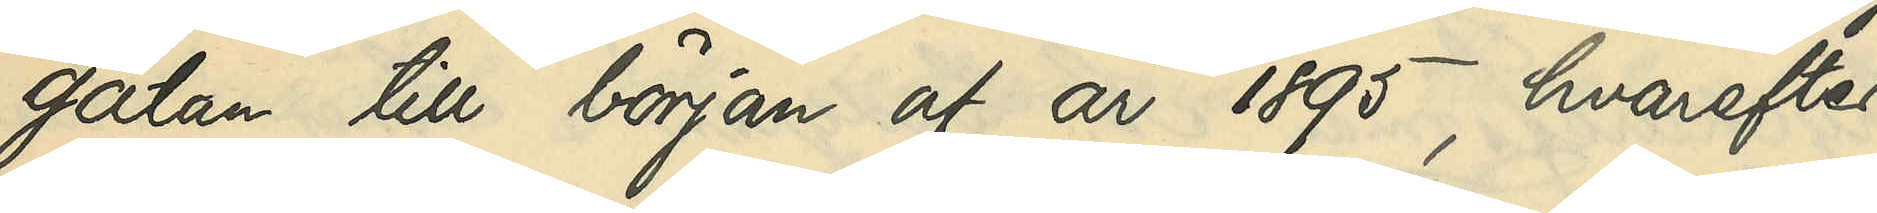gatan till början af år 1895, hvarefter
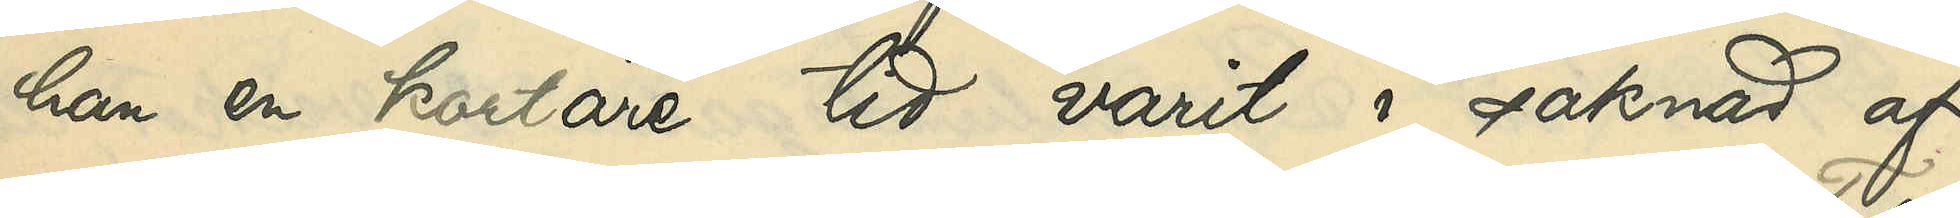han en kortare tid varit i saknad af
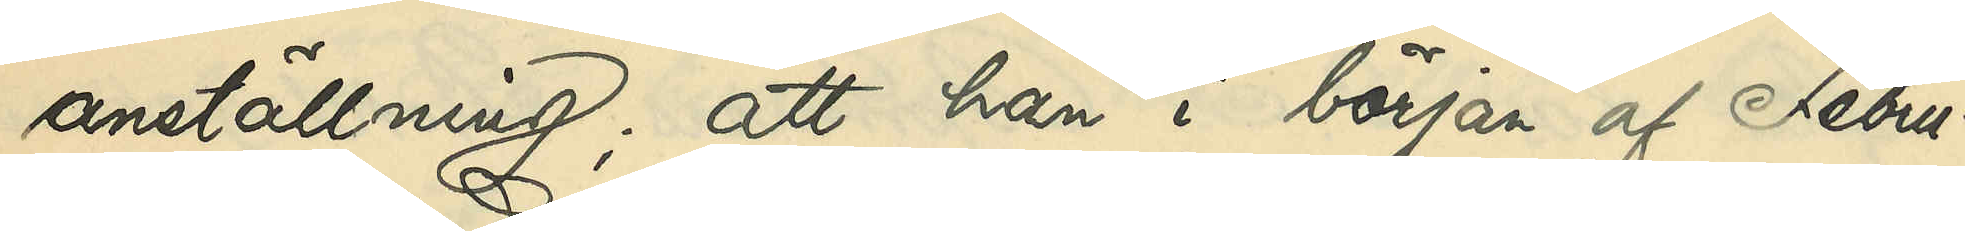anställning; att han i början af Febru¬
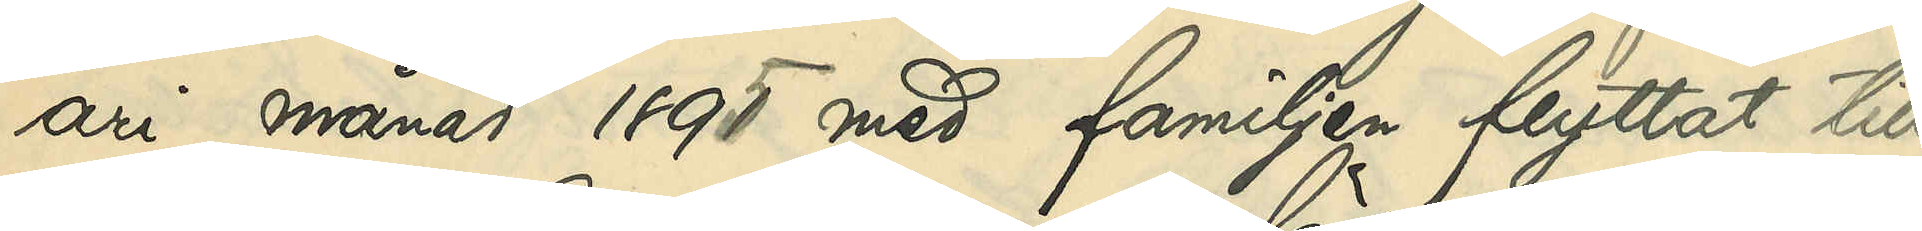ari månad 1895 med familjen flyttat till
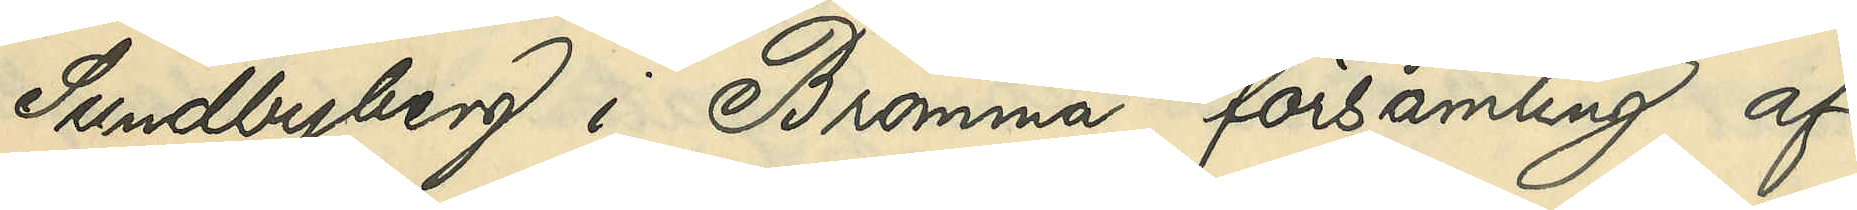Sundbyberg i Bromma församling af
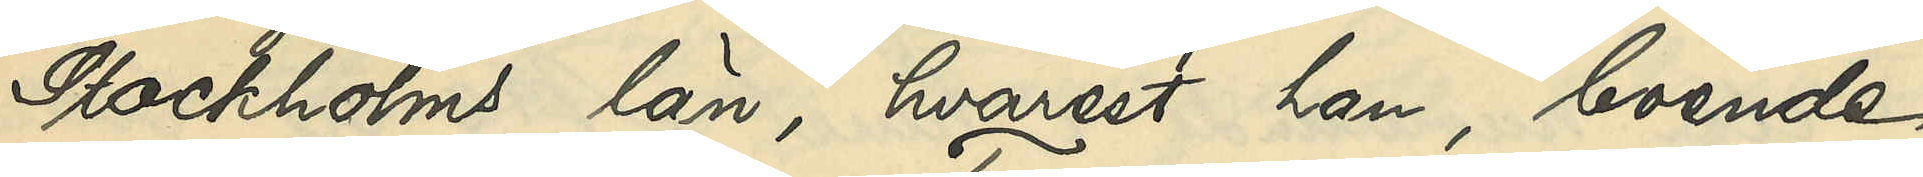Stockholms län, hvarest han, boende
